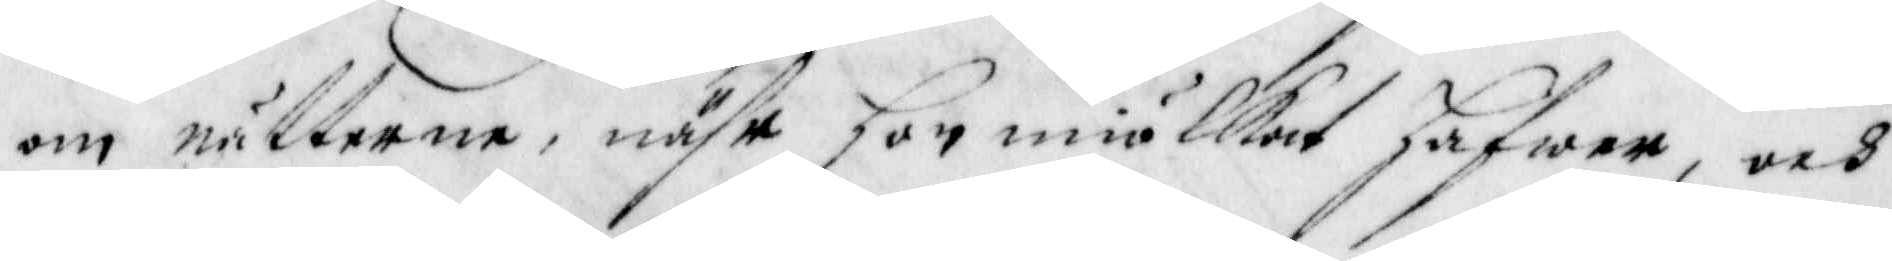om nätterne, nähr hon miölkat hafwer, och
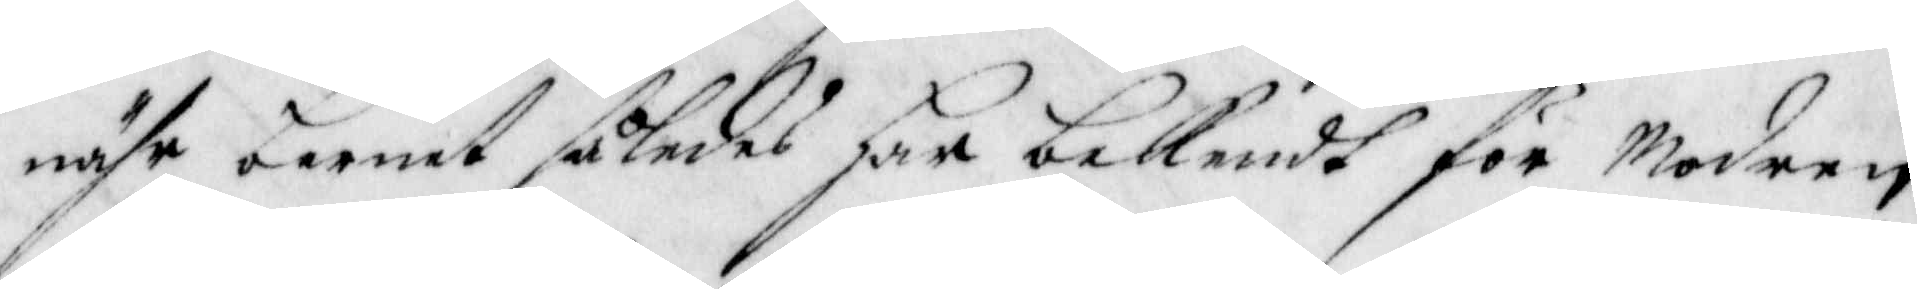nähr barnet således har bakendh för modren
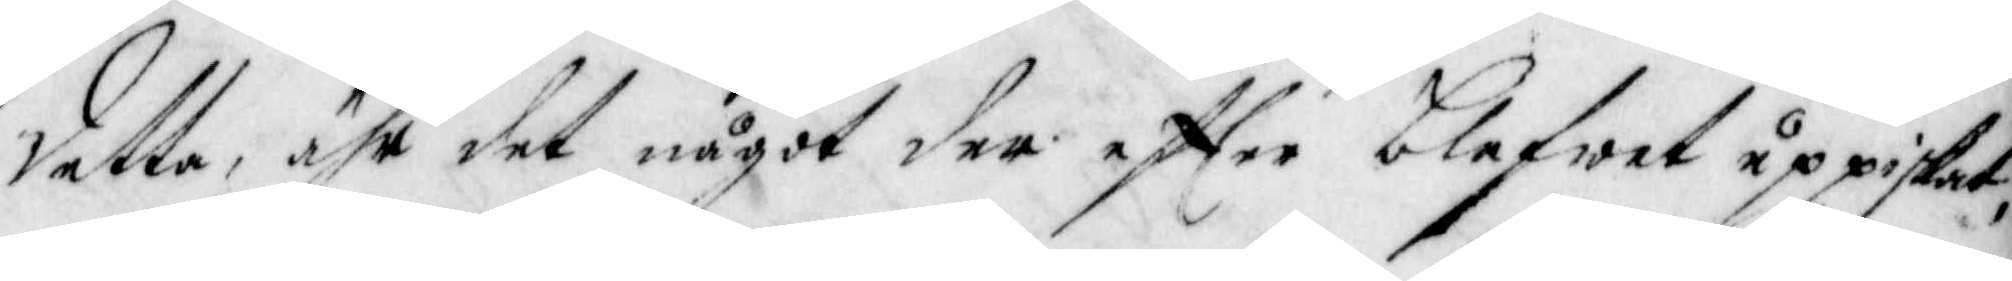detta, ähr det något der effter blefwet uppiskat,
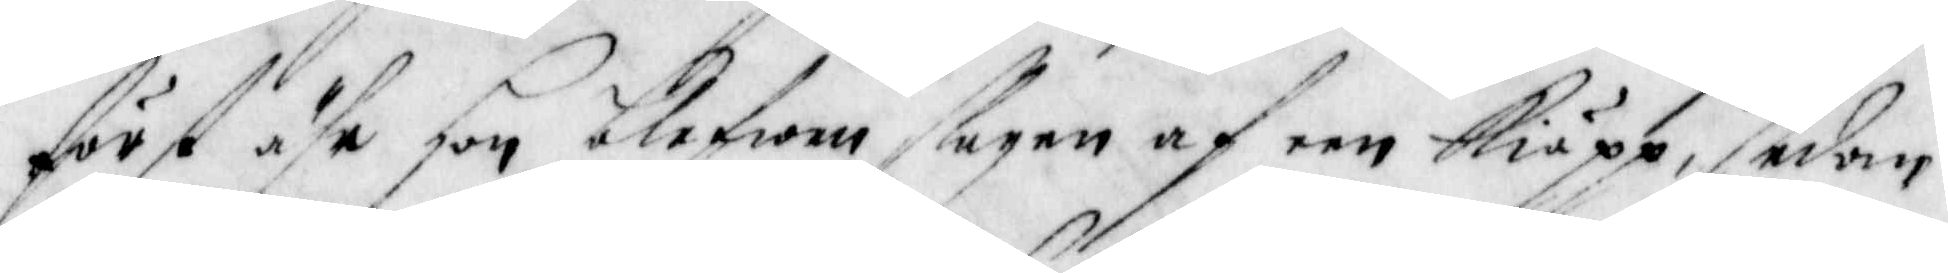först ähr hon blefwen slagen af een Kiäpp, sedan
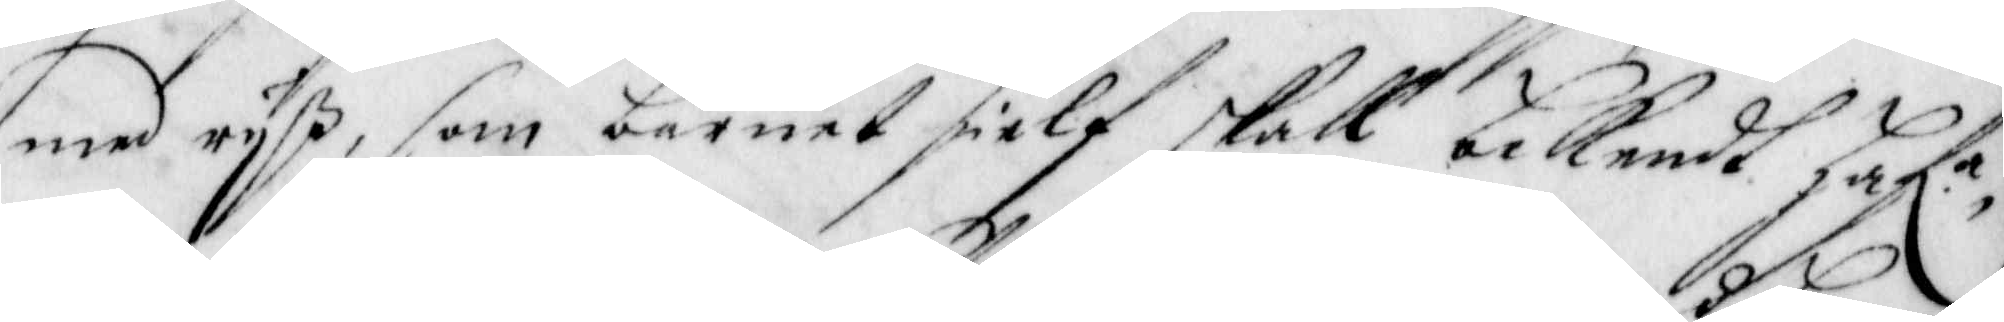med ryß, som barnet sielf skall bekenst haf.a
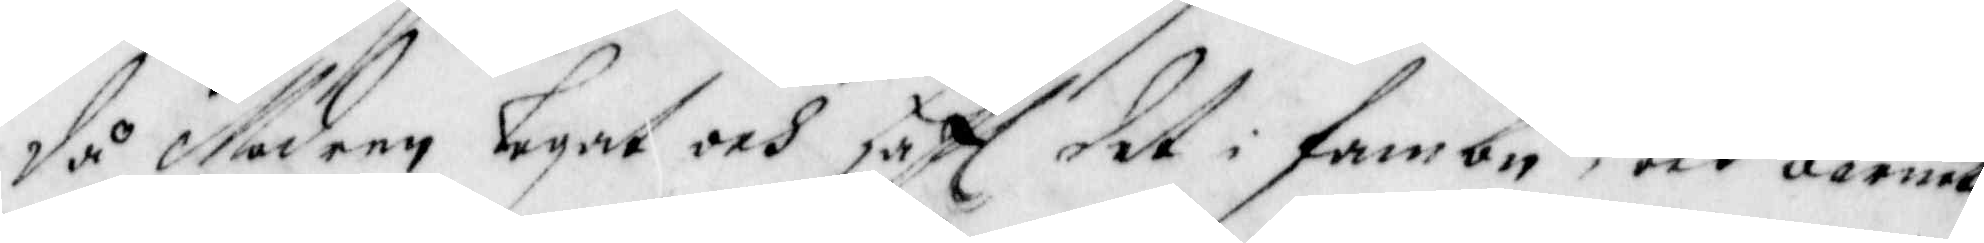då Modren legat och haft det i fambn, och barnet
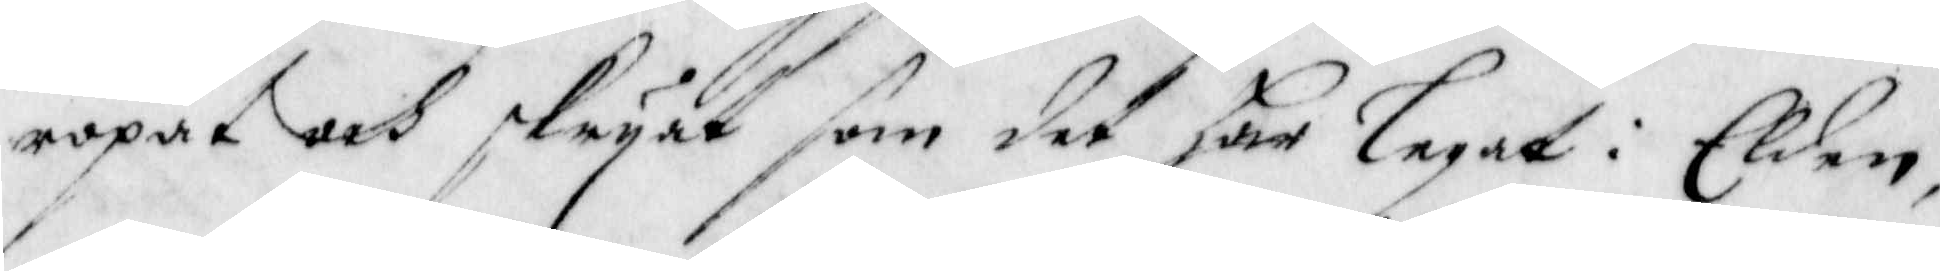ropat och skryat som det har legat i Elden,
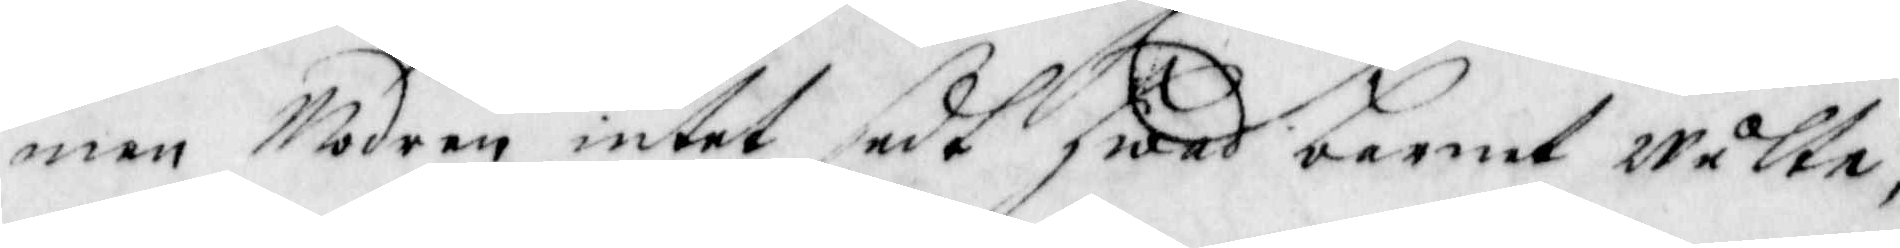men Modren intet sedt hwad barnet Wulte,
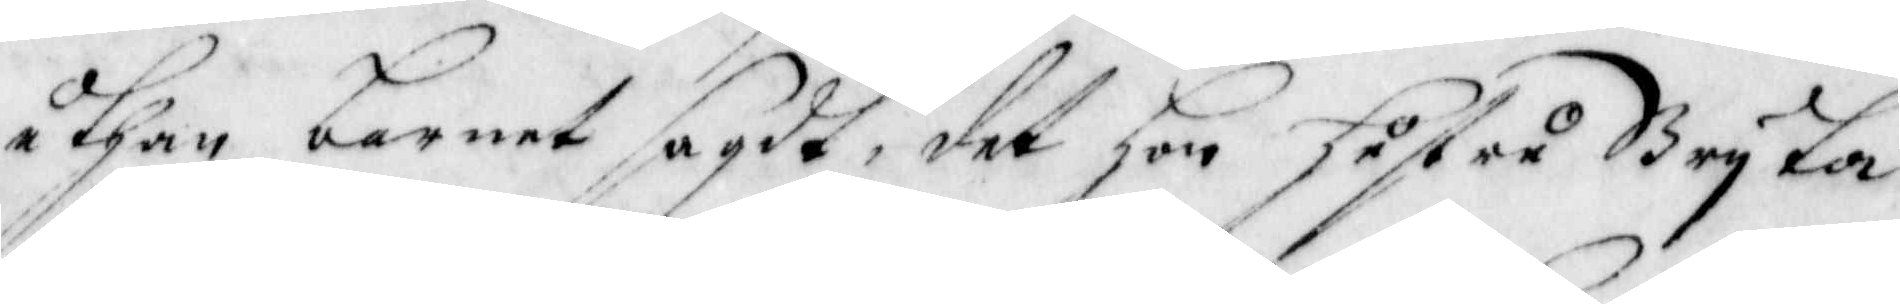uthan barnet sagdt, det hon hustru Bryta
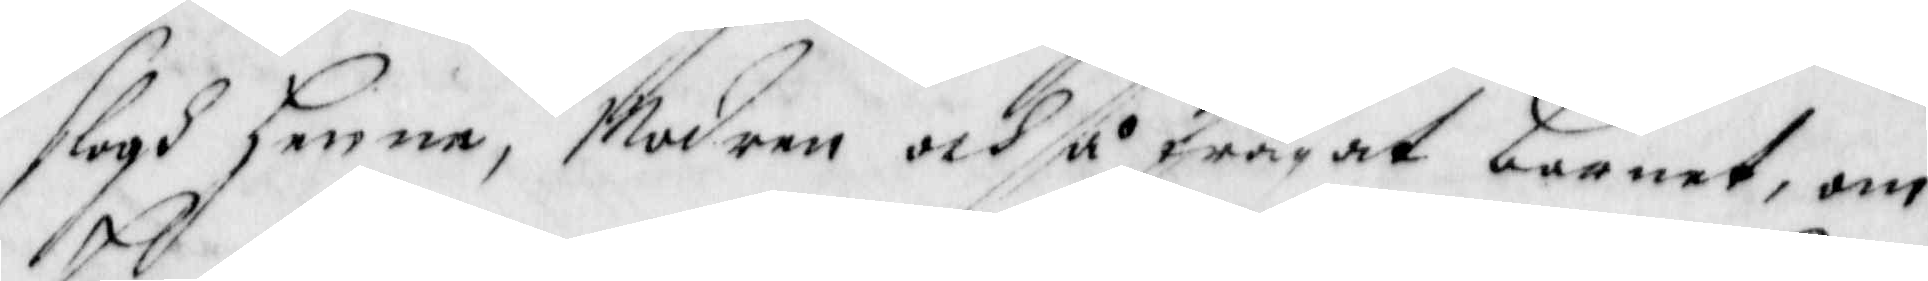slogh henne, Modren och så frågat barnet, om
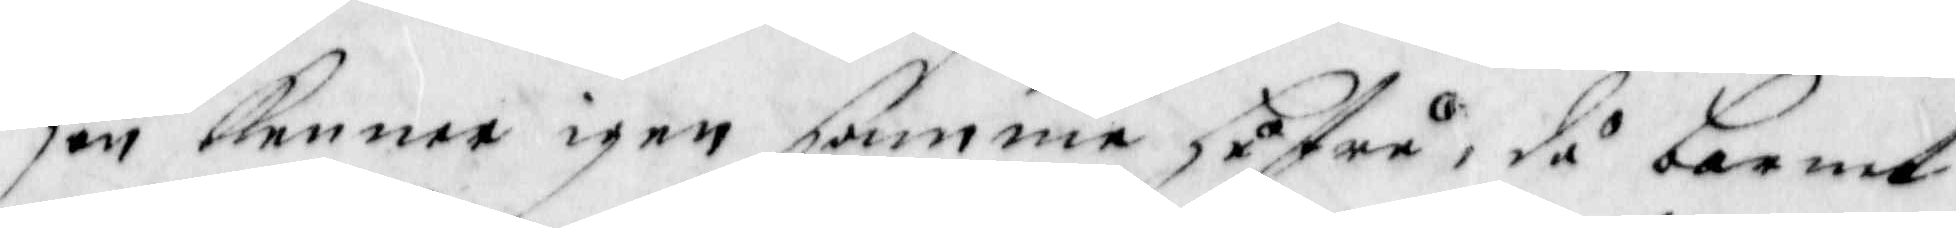hon kenner igen samma hustru, då barnet
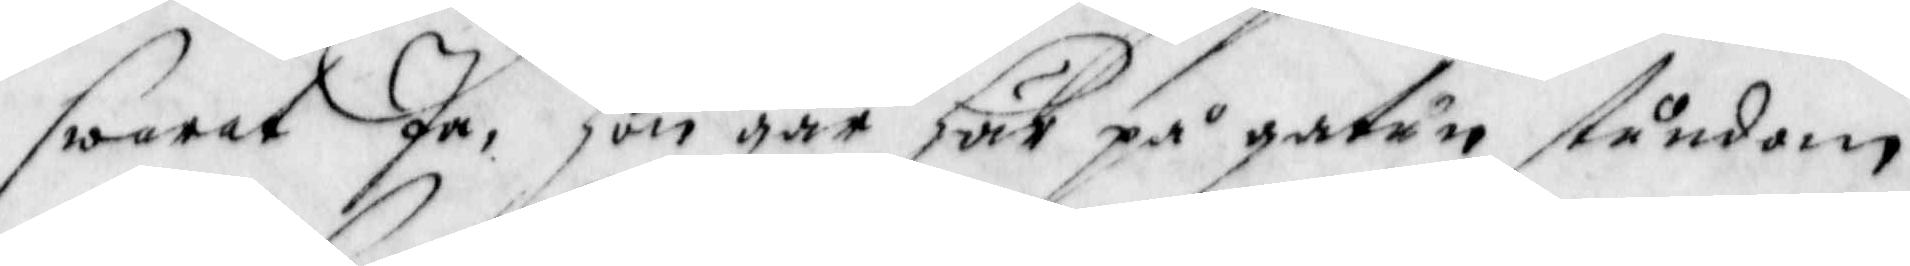swarat Ja, hon går här på gatun stundom
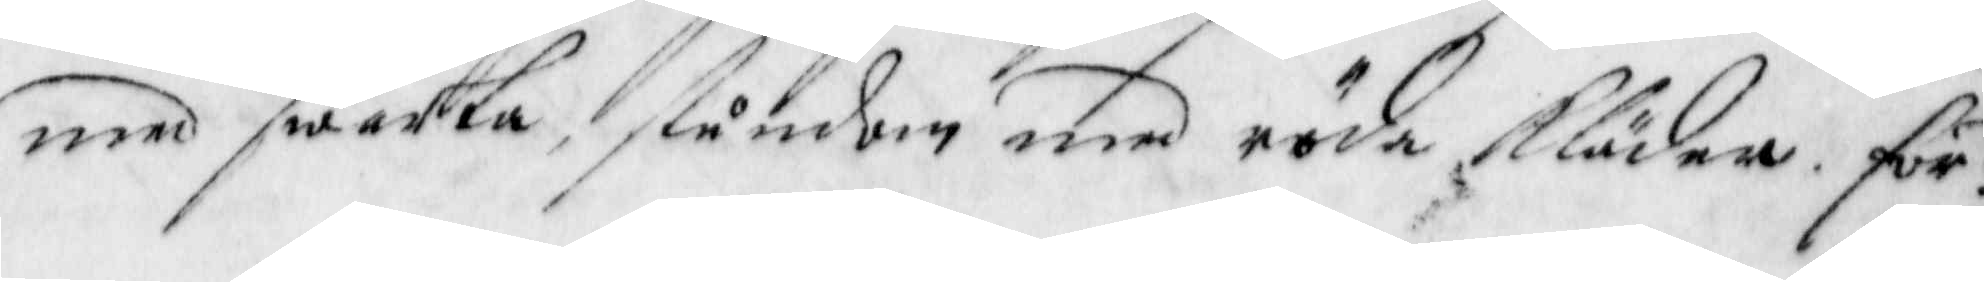med swarta, stundom med röda Kläder: för¬
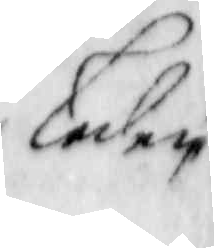leden
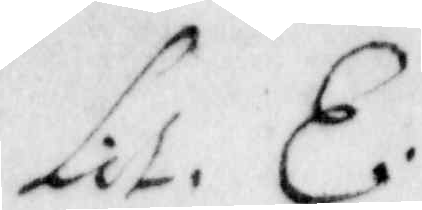Lit E.
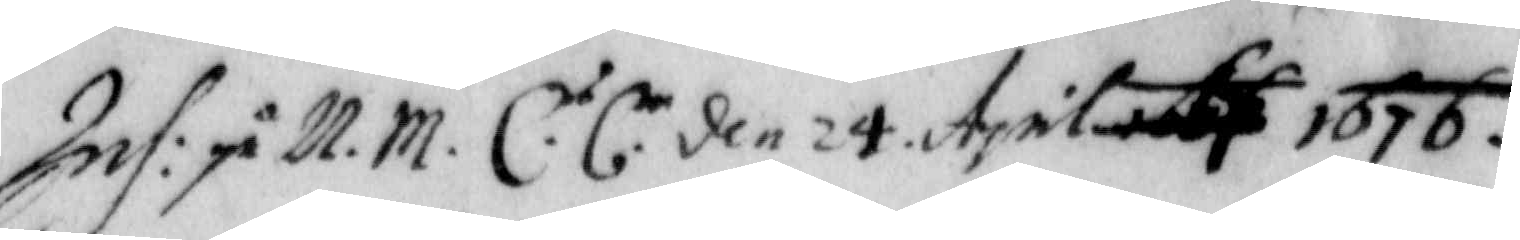Inh: på N.M. C.s C.m den 24 April 1676
